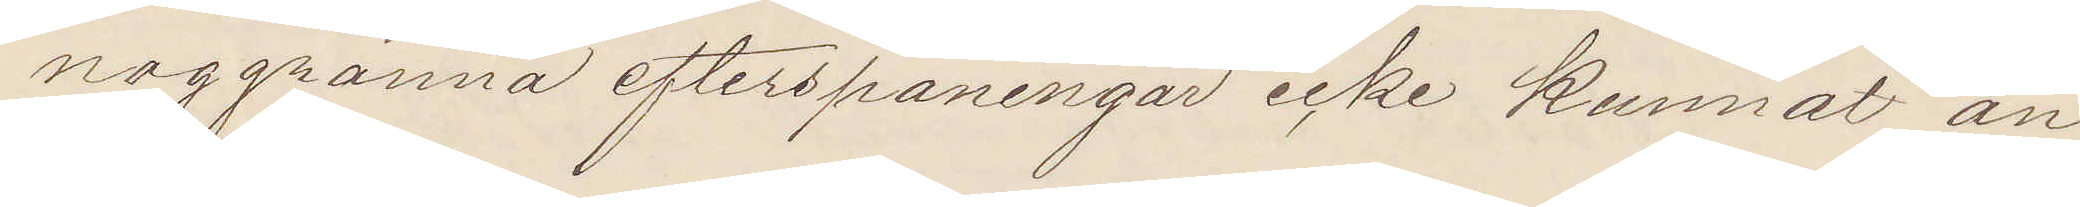noggranna efterspaningar icke kunnat an¬
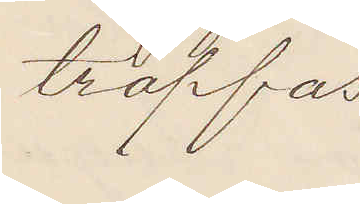träffas.
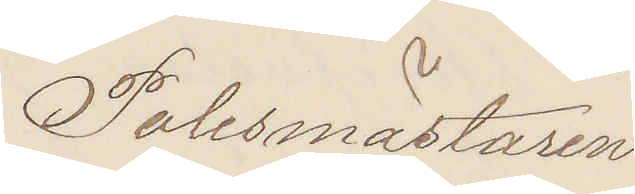Polismästaren.
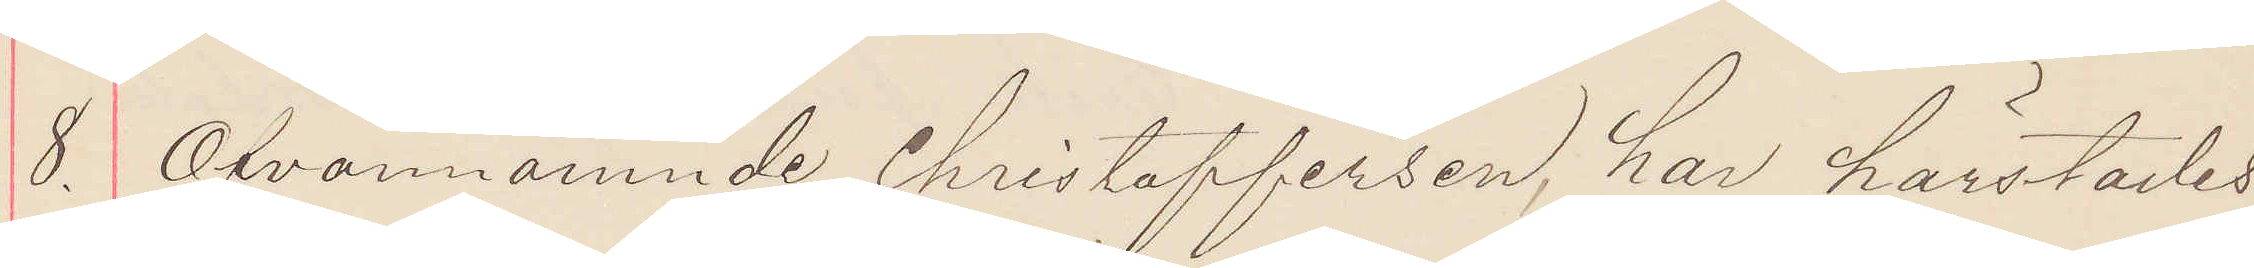8. Ofvannämnde Christoffersen, har härstädes
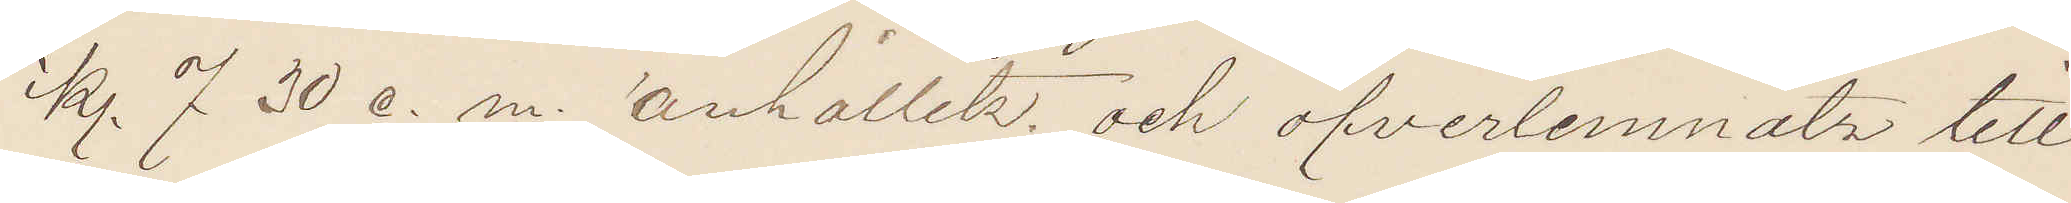kl 7 30 e. m. anhållits och öfverlemnats till
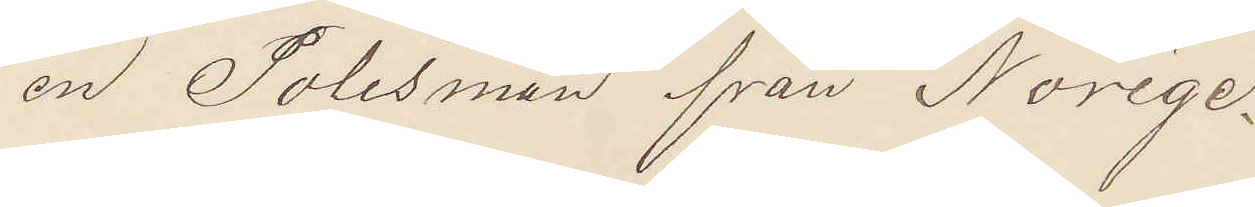en Polisman från Norige.
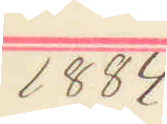1884
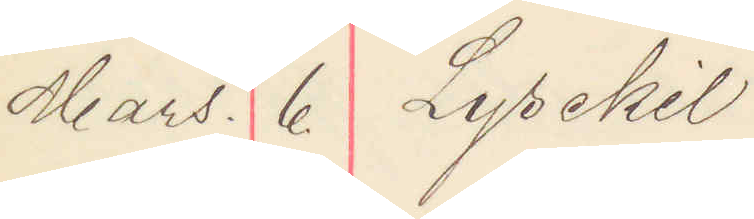Mars. 6 Lysekil
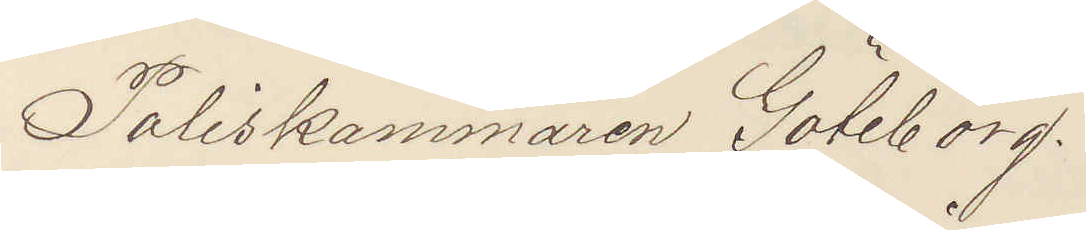Poliskammaren Göteborg.
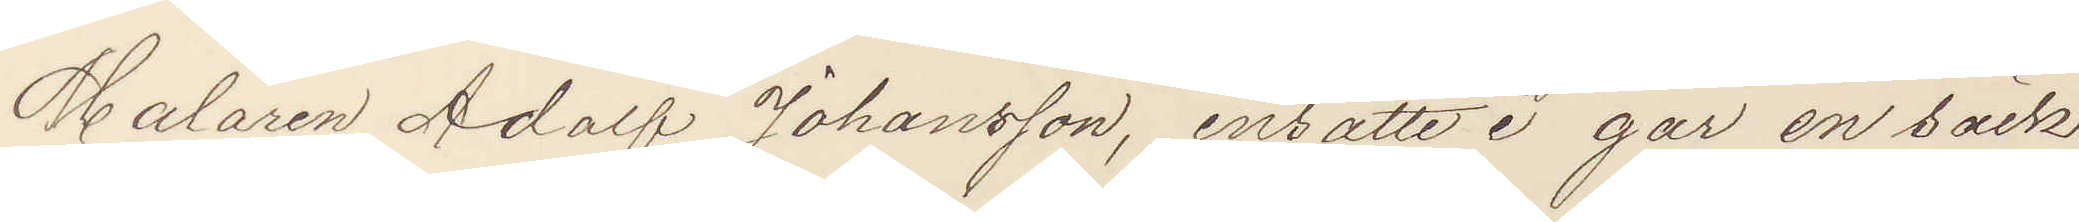Målaren Adolf Johansson, insatte i går en säck,
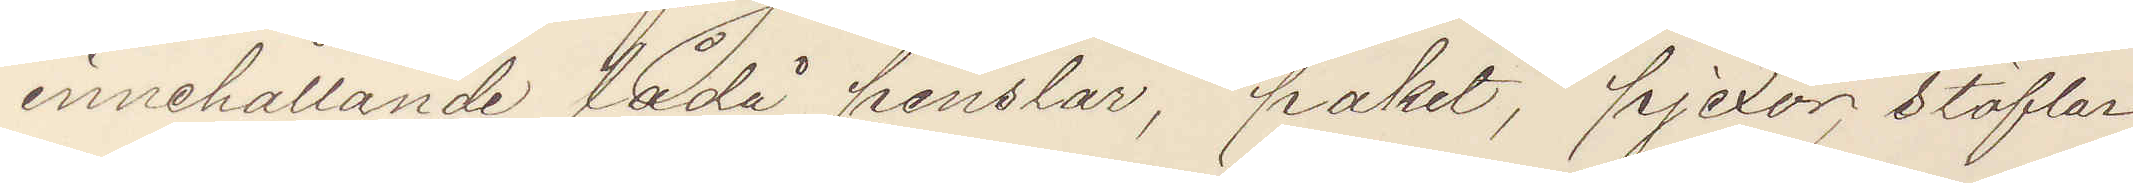innehållande lådå penslar, paket, pjexor stöflar,
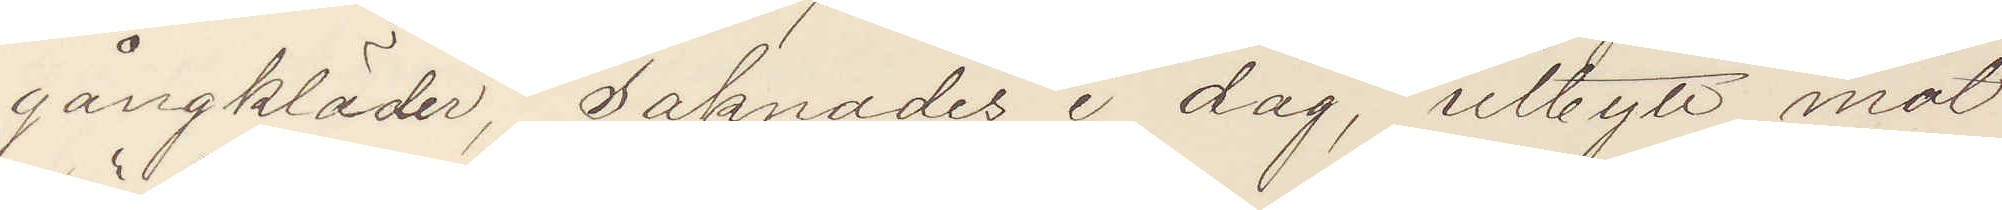gångkläder, saknades i dag, utbytt mot
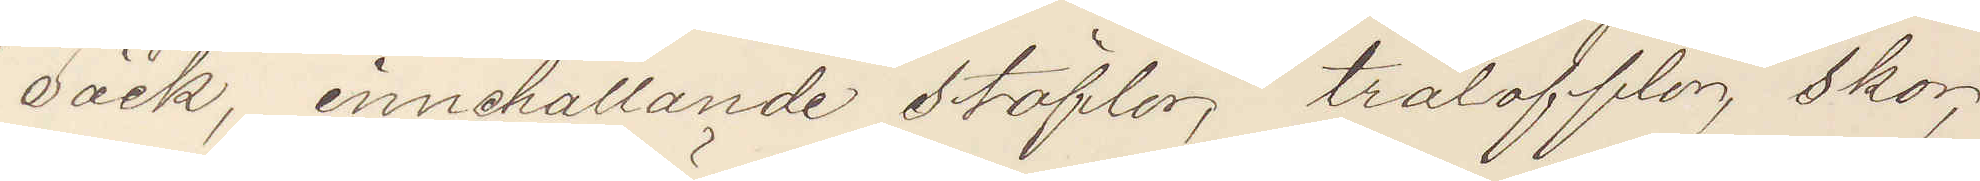säck, innehållande stöflar, trätofflor skor,
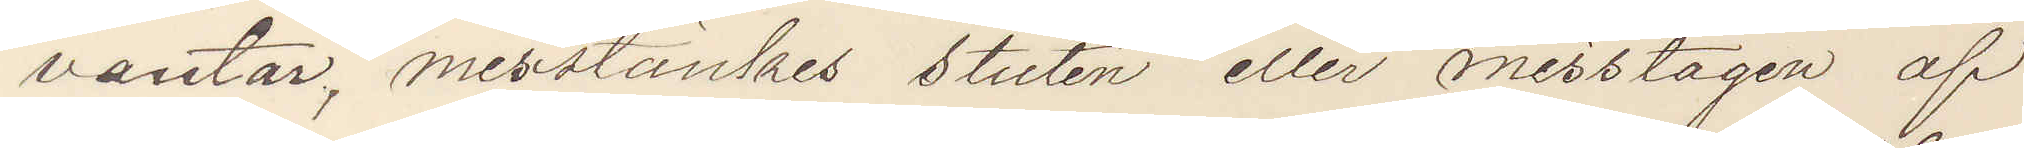vantar, misstänkes stulen eller misstagen af
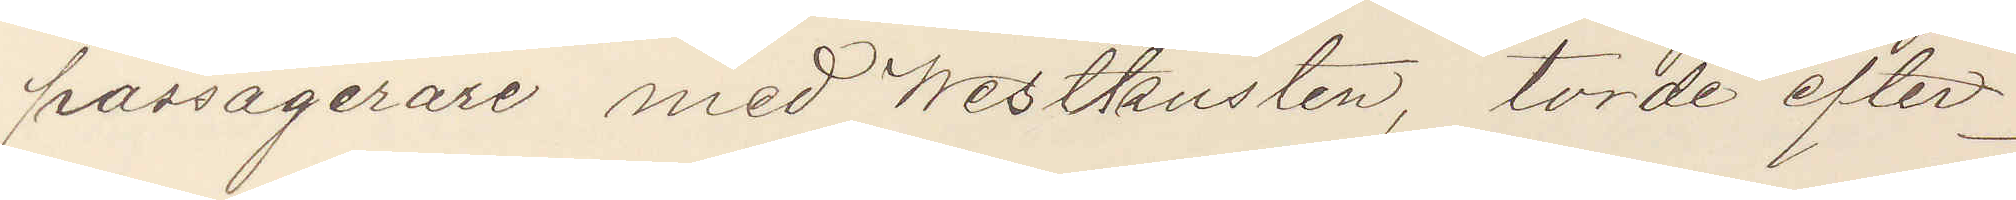passagerare med Westkusten, torde efter¬
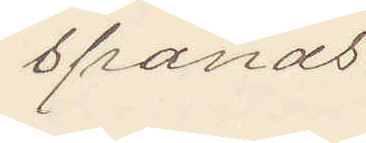spanas.
